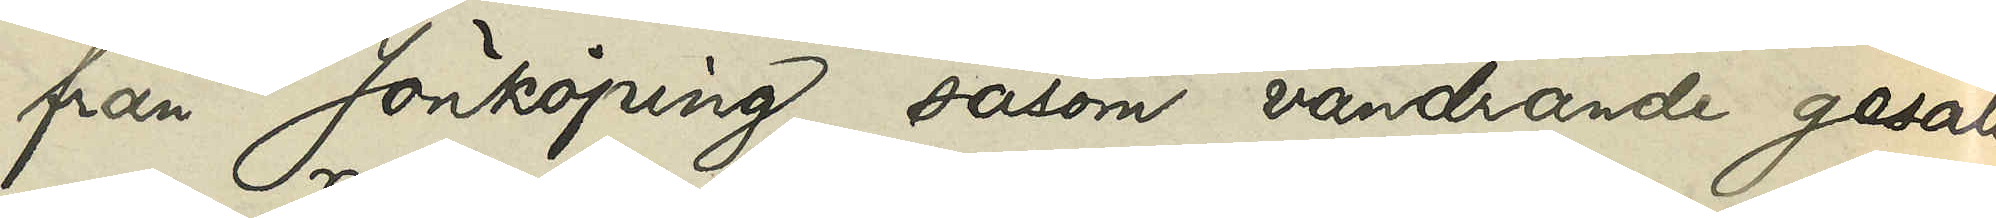från Jönköping, såsom vandrande gesäll
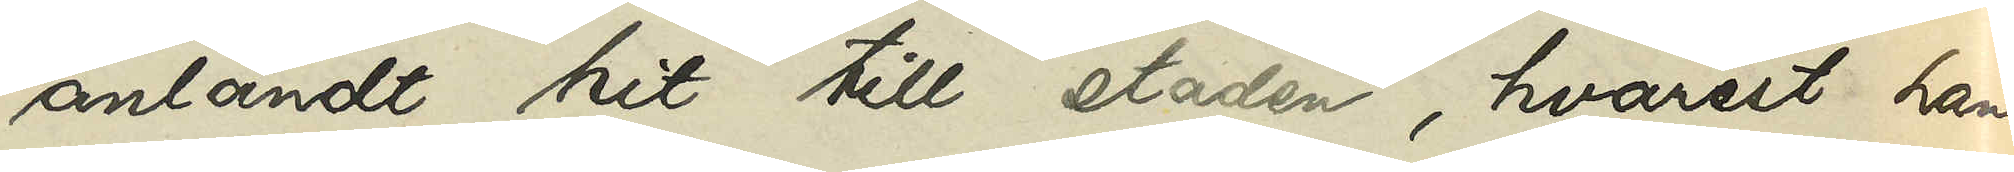anländt hit till staden, hvarest han
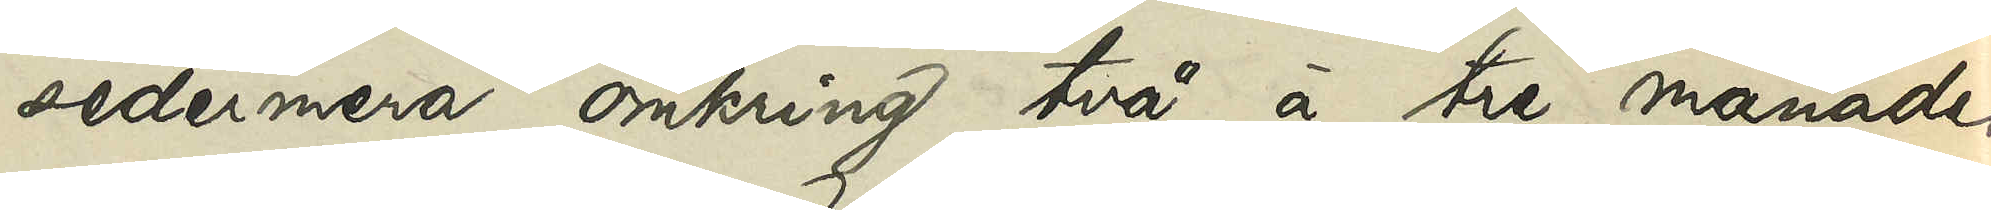sedermera omkring två à tre månader
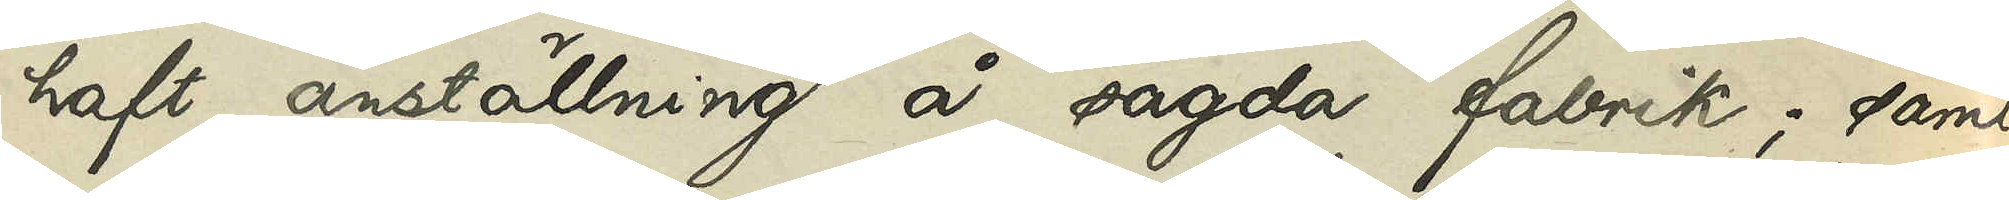haft anställning å sagda fabrik; samt
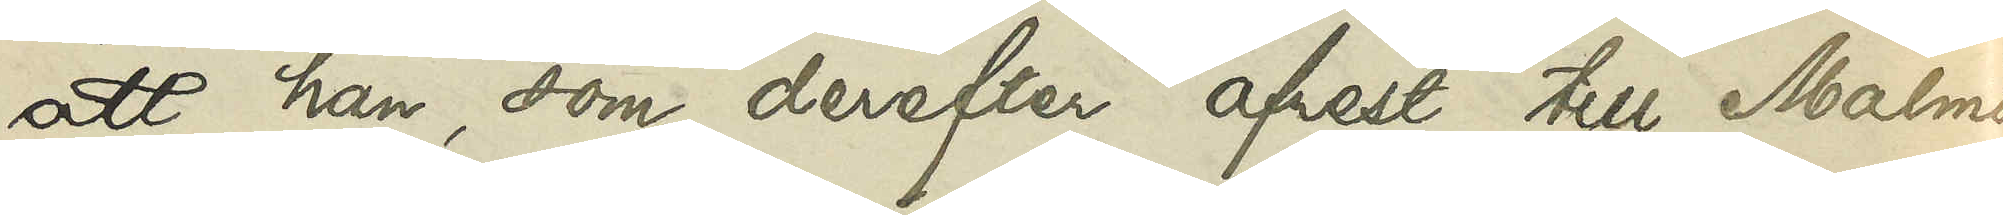att han, som derefter afrest till Malmö,
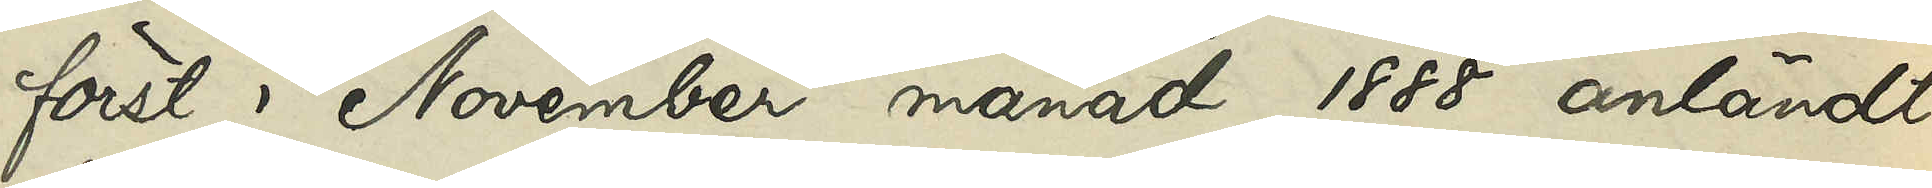först i November månad 1888 anländt
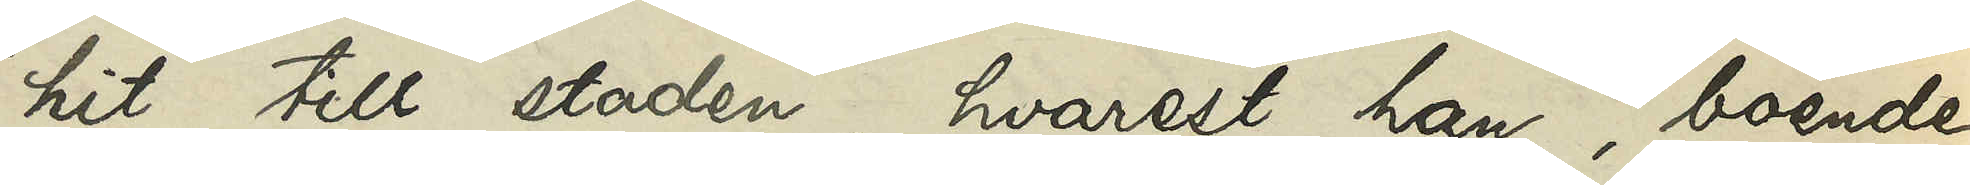hit till staden, hvarest han, boende
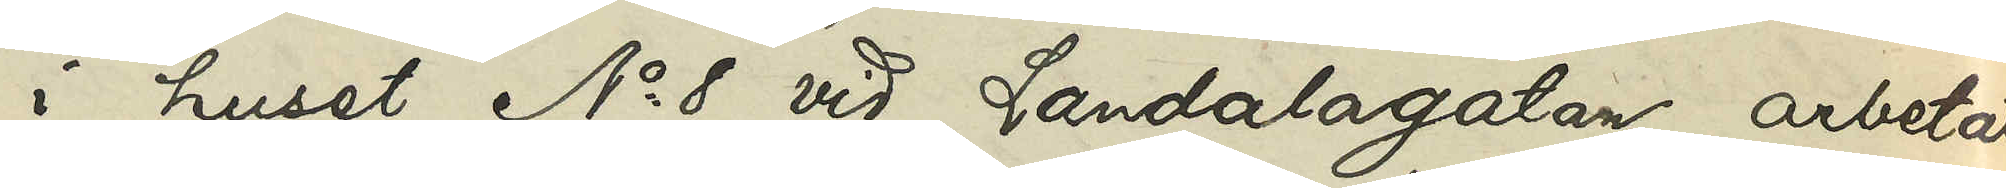i huset No 8 vid Landalagatan, arbetat
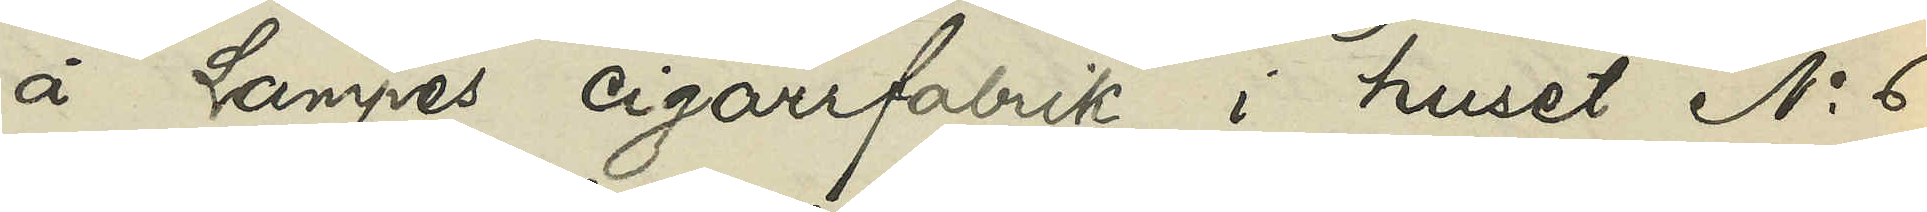å Lampes cigarrfabrik i huset No 6
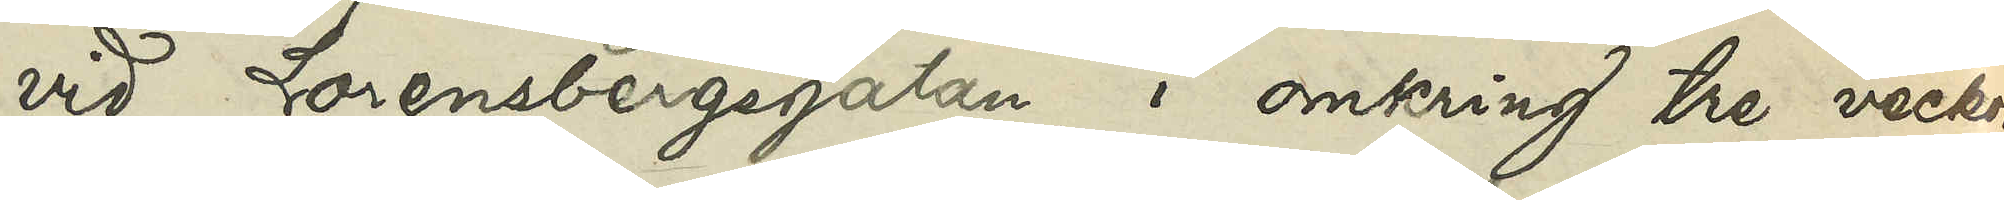vid Lorensbergsgatan i omkring tre veckor,
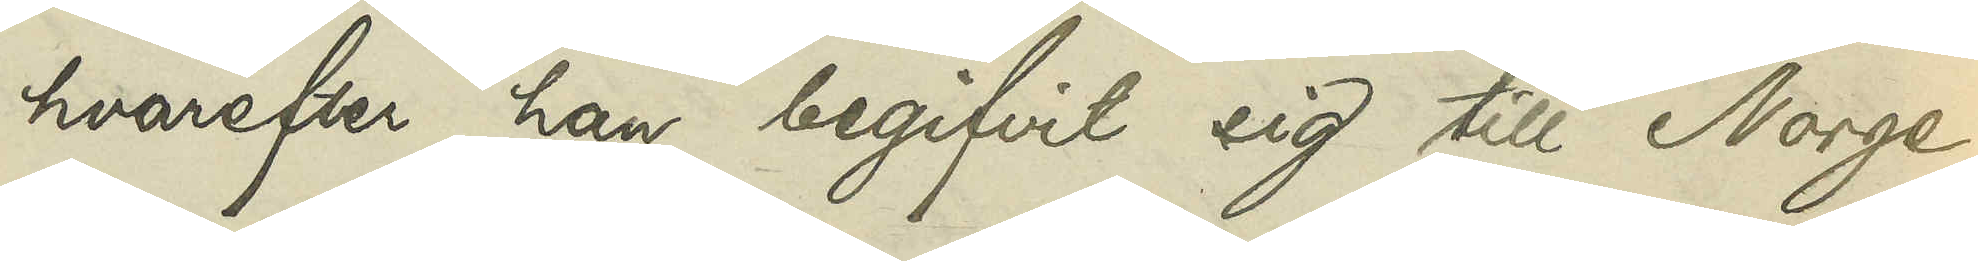hvarefter han begifvit sig till Norge.
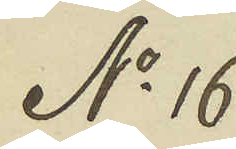No 16
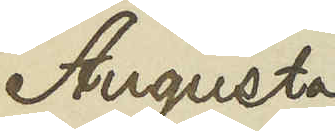Augusta
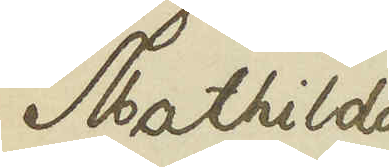Mathilda
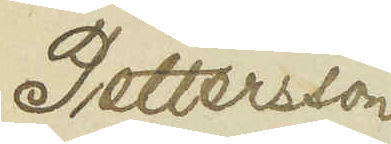Pettersson
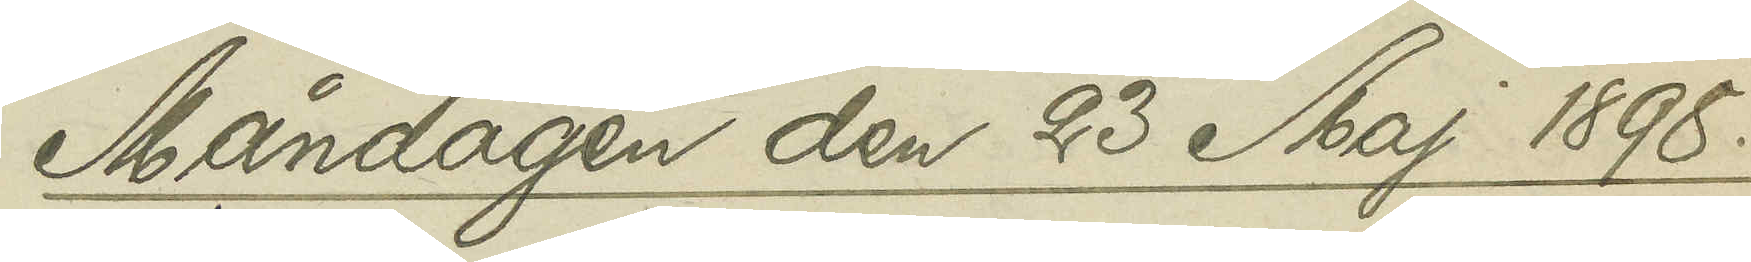Måndagen den 23 Maj 1898.
